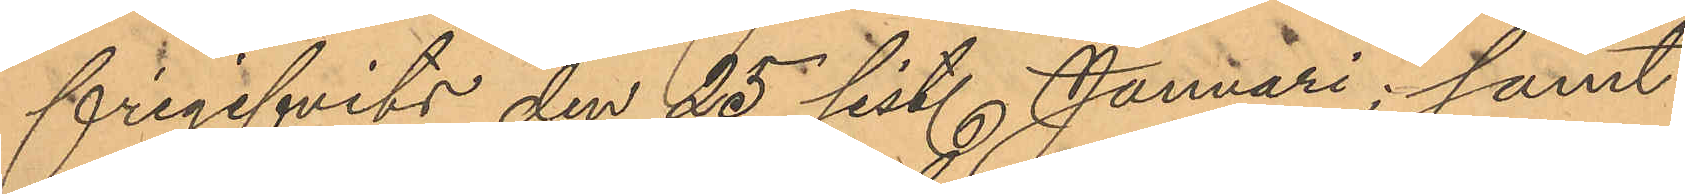frigifvits den 25 sist. Januari samt
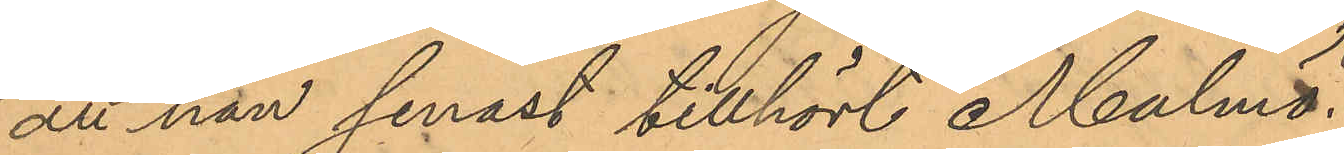att han senast tillhört Malmö.
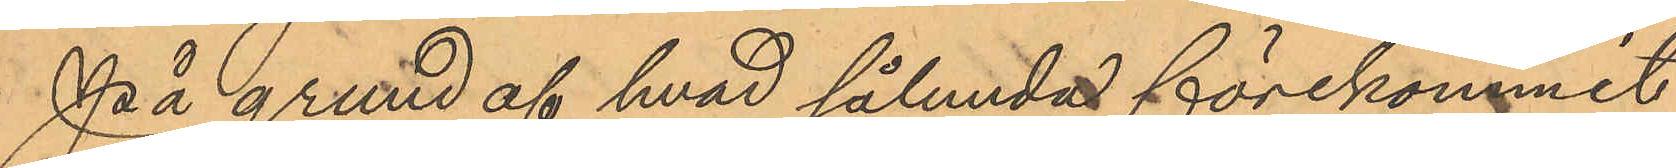På grund af hvad sålunda förekommit
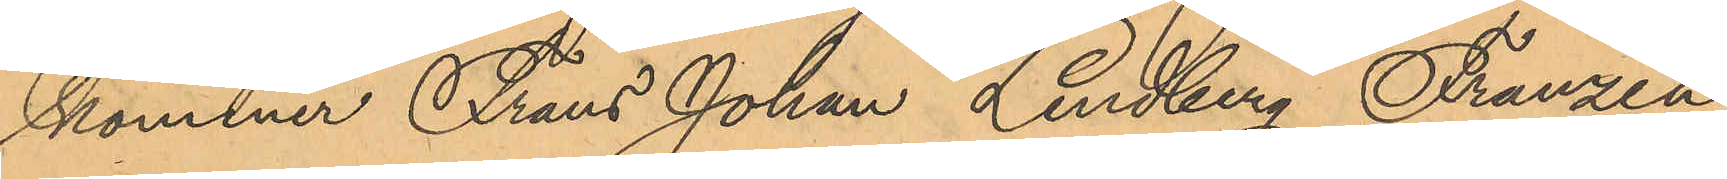kommer Frans Johan Lindberg Franzén
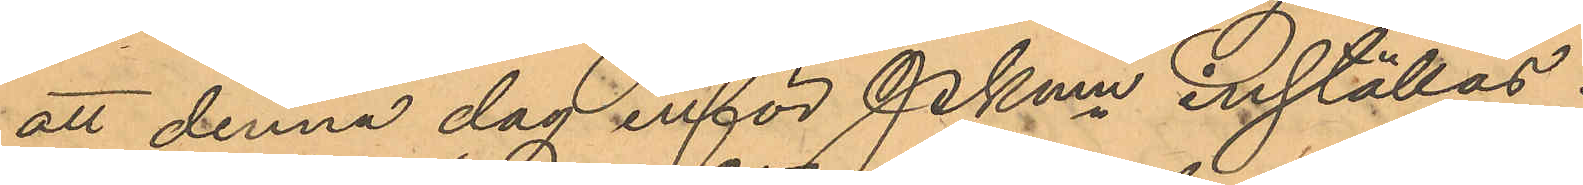att denna dag inför Pkmn inställas.
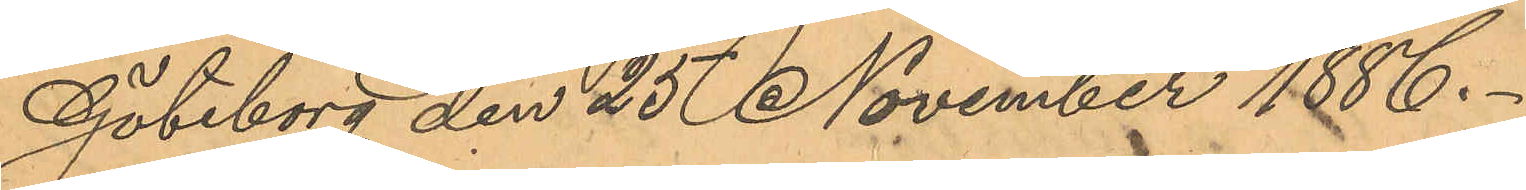Göteborg den 25 November 1886.
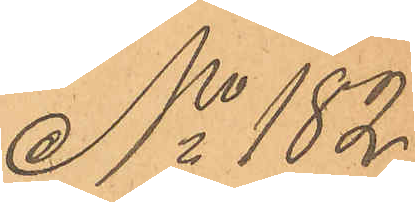No 182
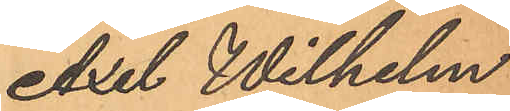Axel Wilhelm
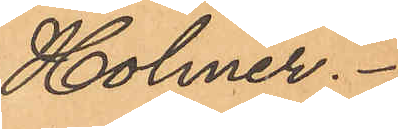Holmer.
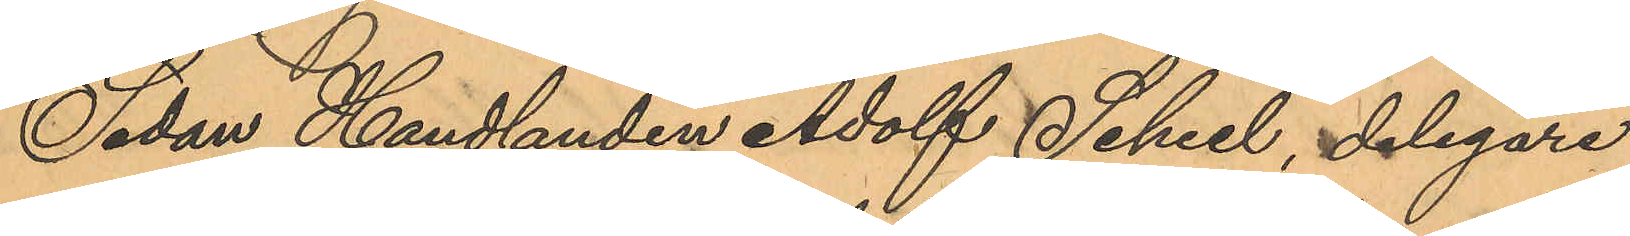Sedan Handlanden Adolf Scheel, delegare
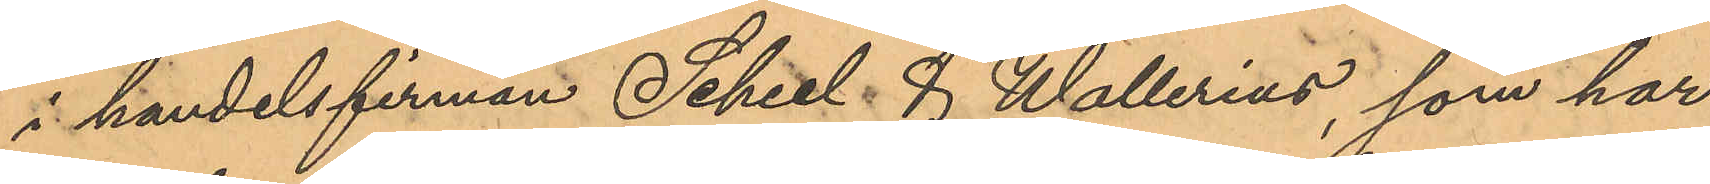i handelsfirman Scheel & Wallerius, som har
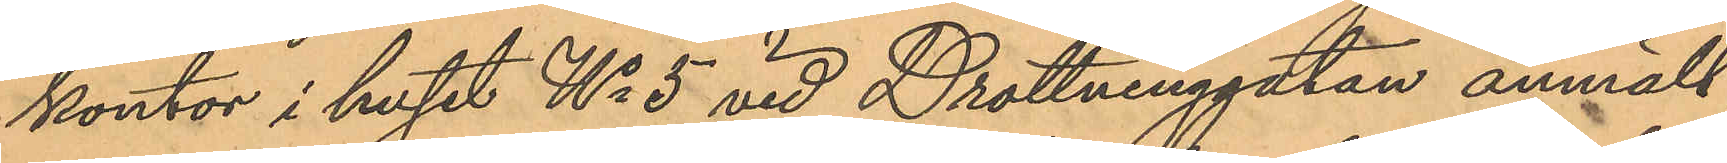kontor i huset No 5 vid Drottninggatan anmält,
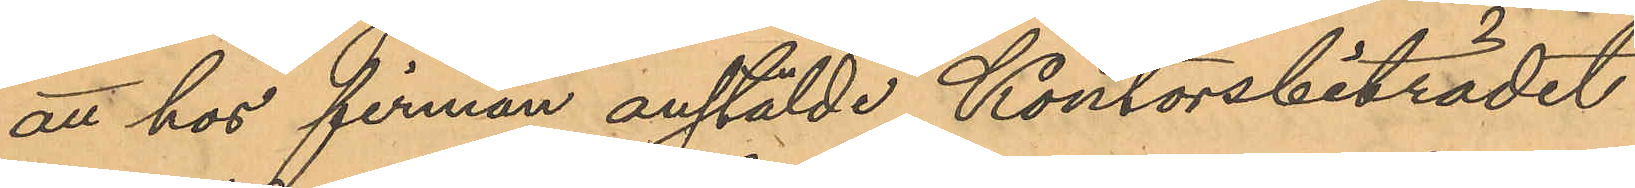att hos firman anstälde Kontorsbiträdet
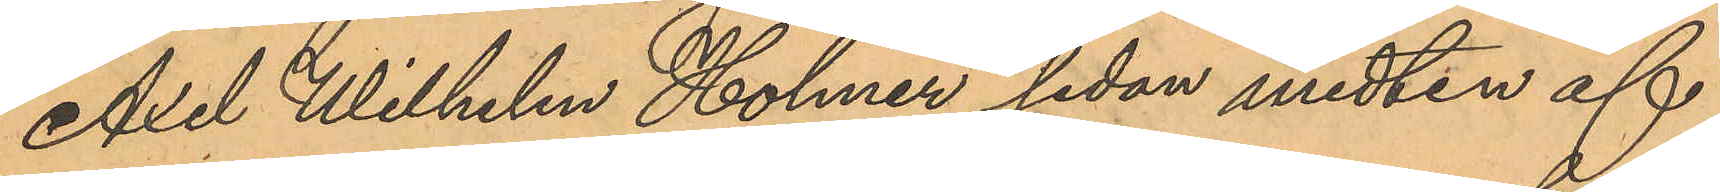Axel Wilhelm Holmer sedan midten af
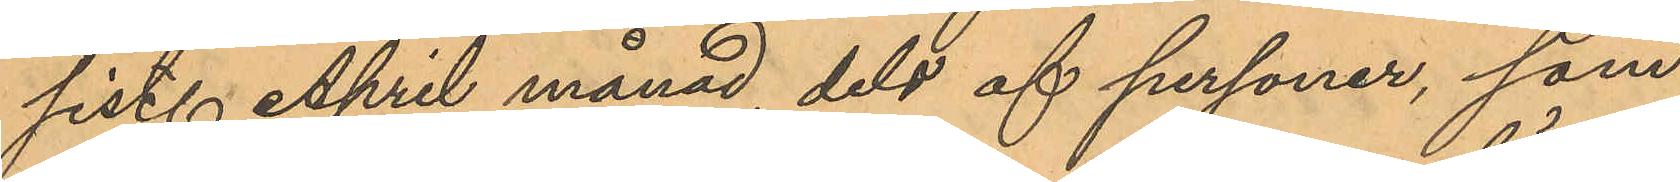sist. April månad, dels af personer, som
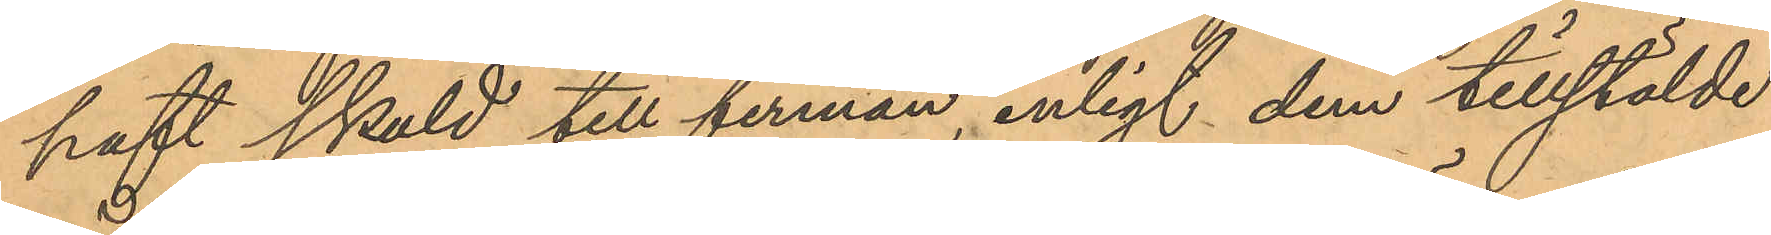haft skuld till firman, enligt dem tillstälde
